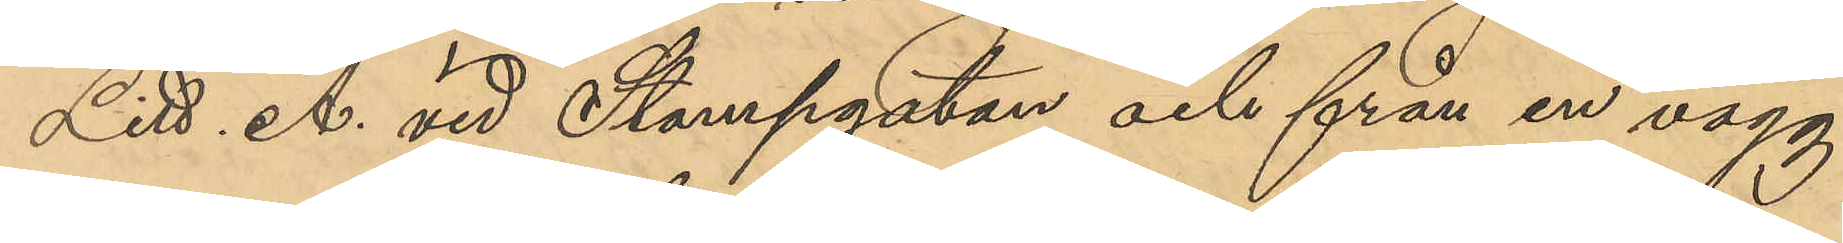Litt. A vid Stampgatan och från en vägg
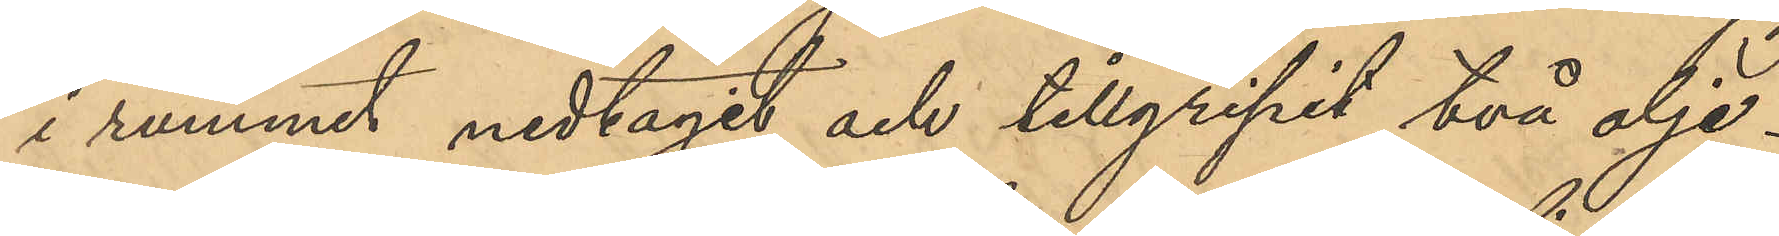i rummet nedtagit och tillgripit två olje¬
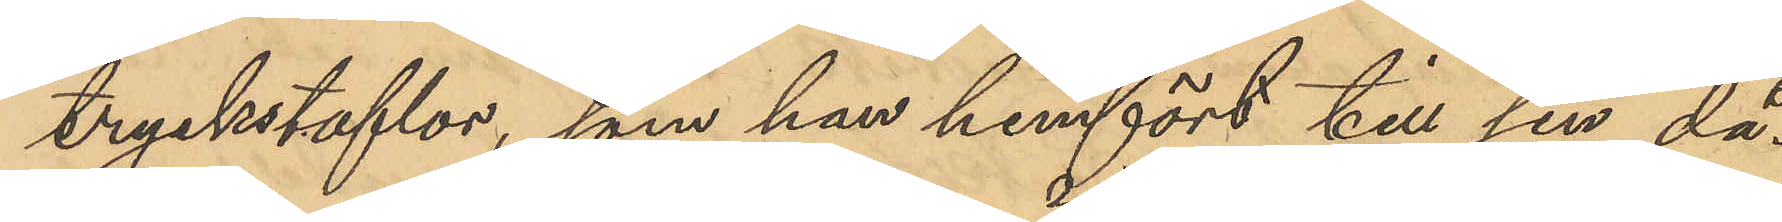tryckstaflor som han hemfört till sin då¬
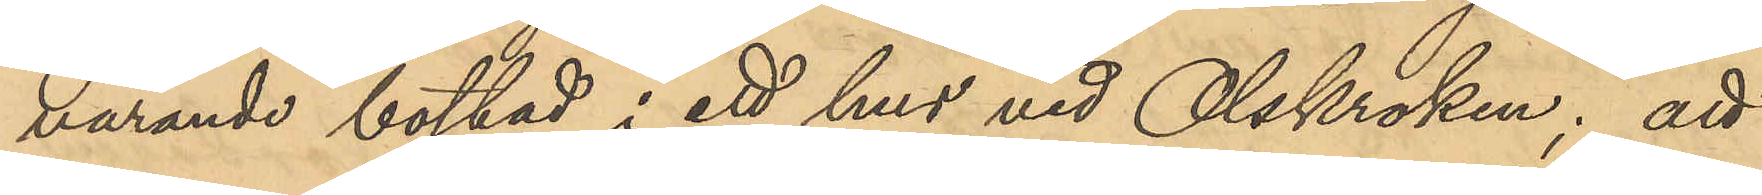varande bostad i ett hus vid Olskroken; att
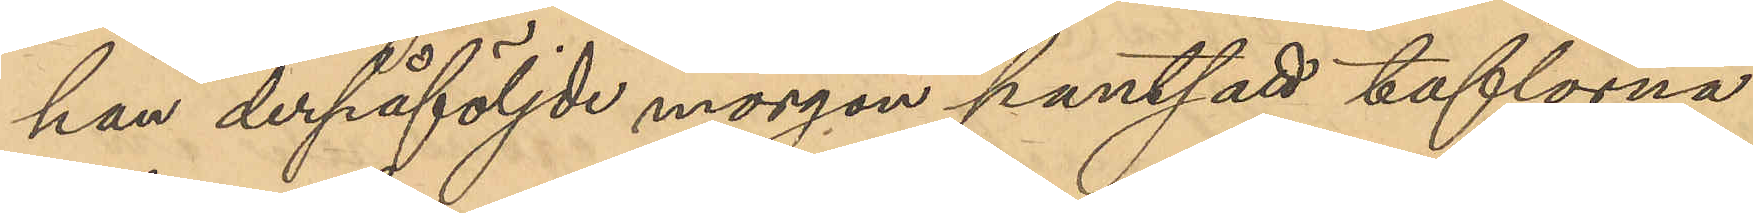han derpåföljde morgon pantsatt taflorna
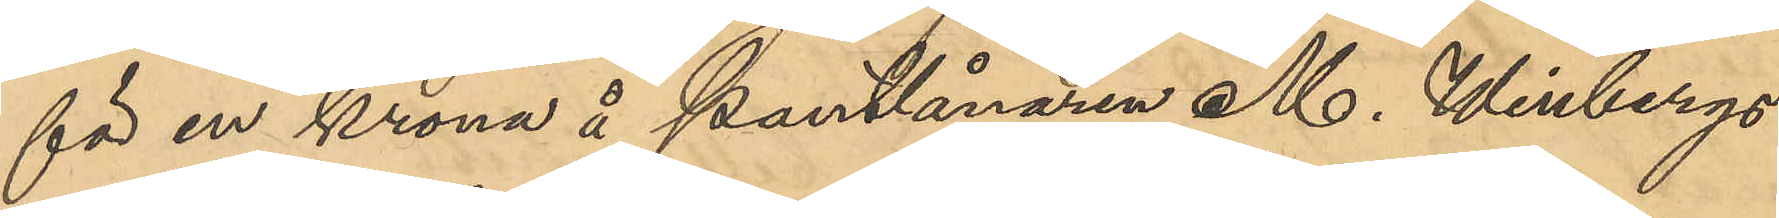för en krona å Pantlånaren M. Winbergs
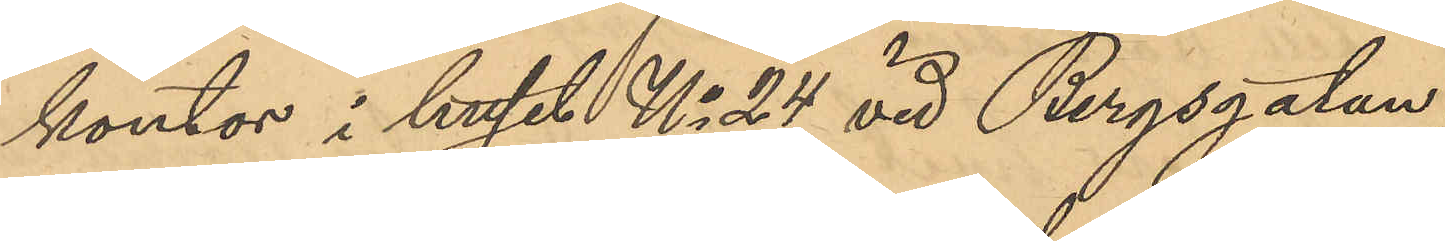kontor i huset No 24 vid Bergsgatan,
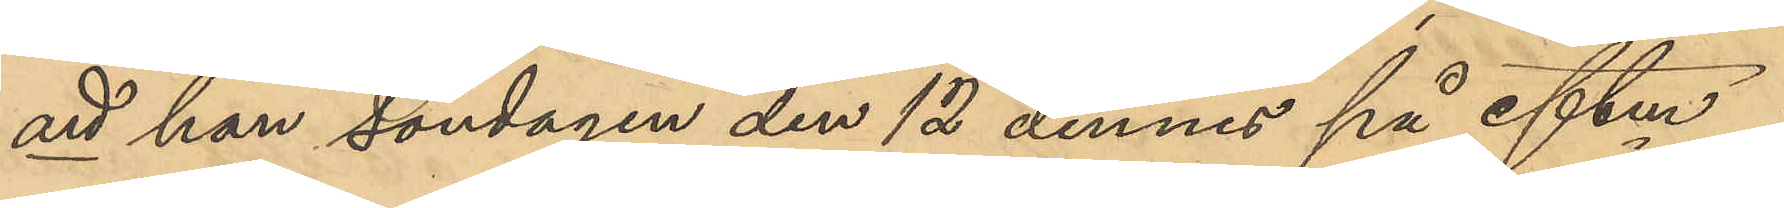att han söndagen den 12 dennes på eftm i
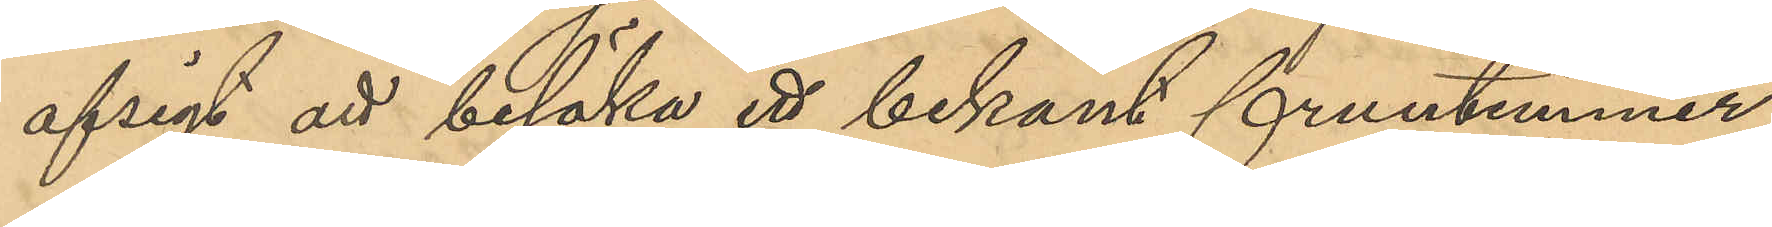afsigt att besöka ett bekant fruntimmer,
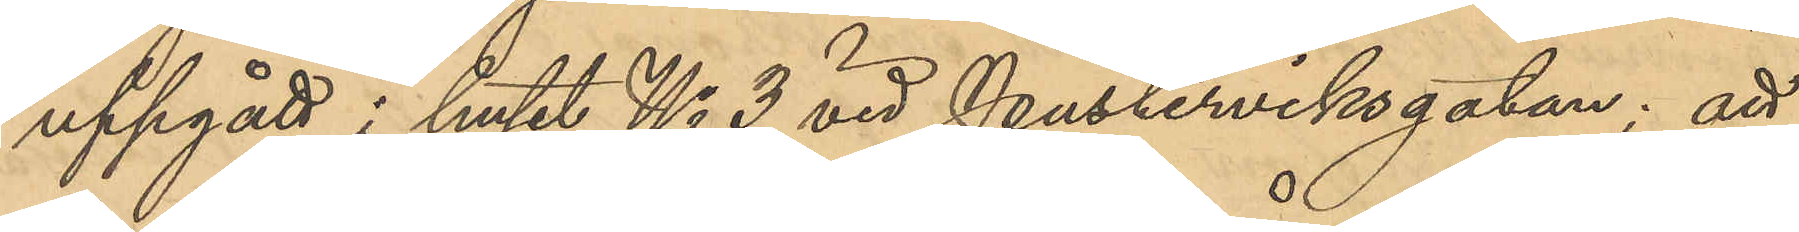uppgått i huset No 3 vid Pusterviksgatan; att
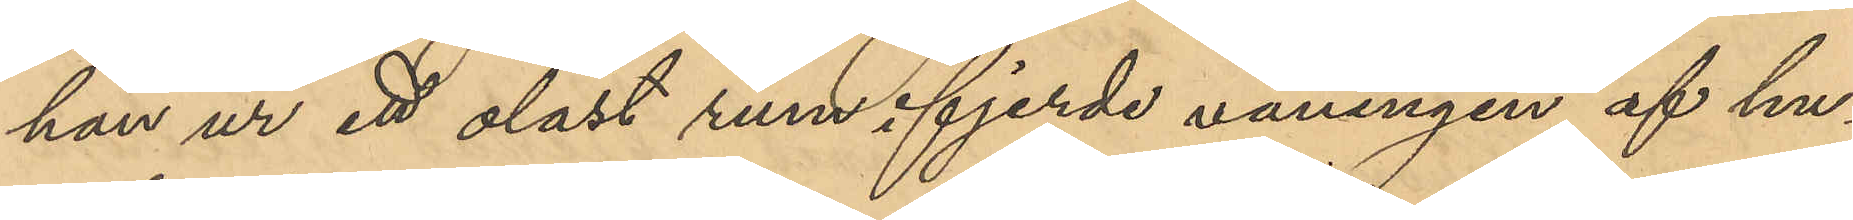han ur ett olåst rum i fjerde våningen af hu¬
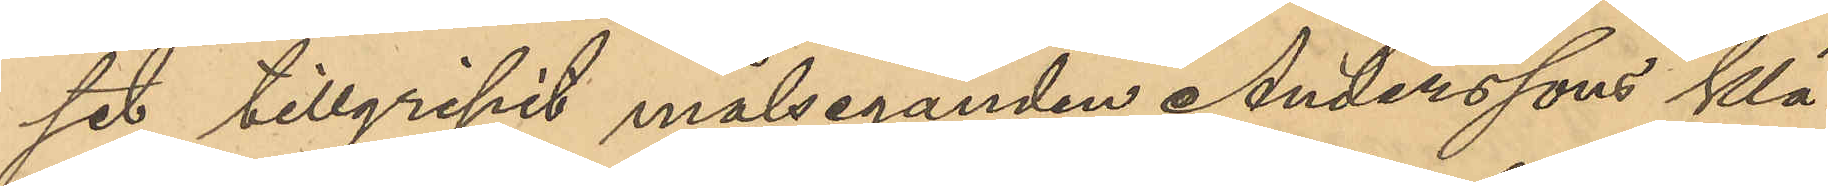set tillgripit målseganden Anderssons klä¬
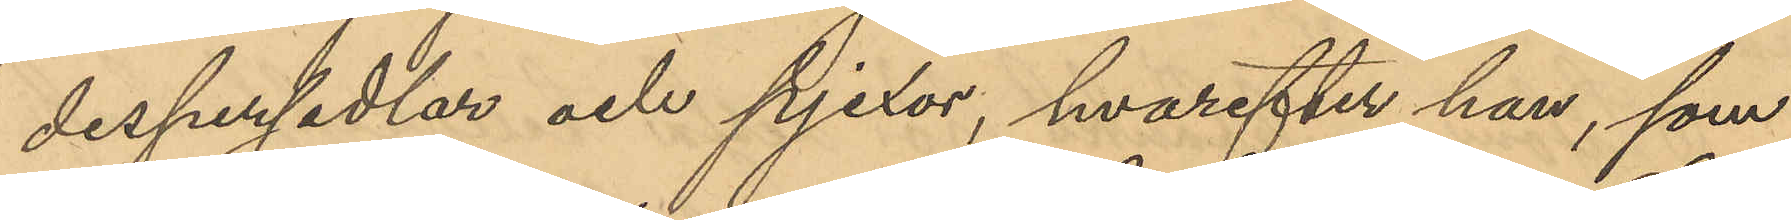despersedlar och pjexor, hvarefter han, som
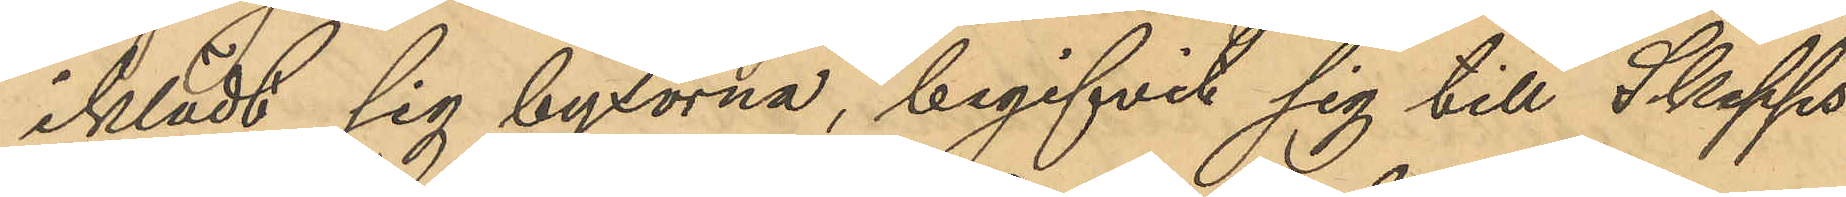iklädt sig byxorna, begifvit sig till Skepps¬
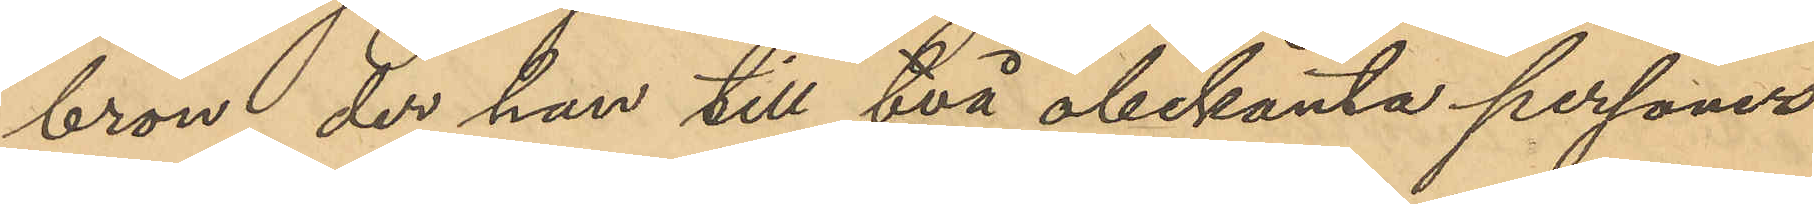bron, der han till två obekanta personer
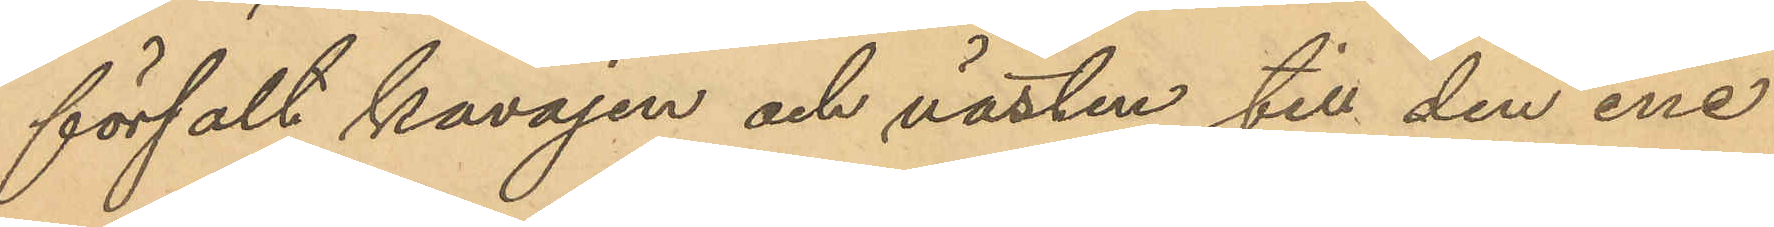försalt kavajen och västen till den ene
